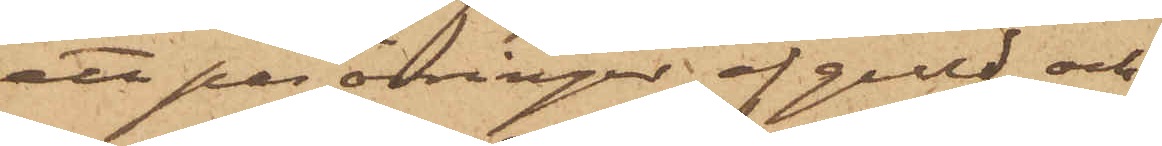ett par örringar af guld och
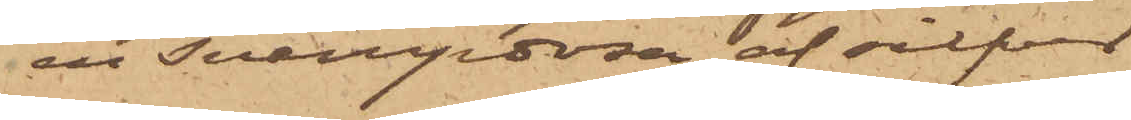en snusdosa af silfver
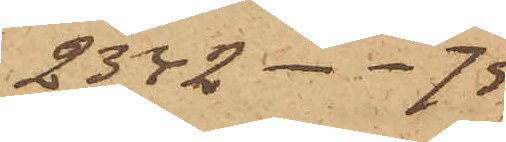 2342 - -75
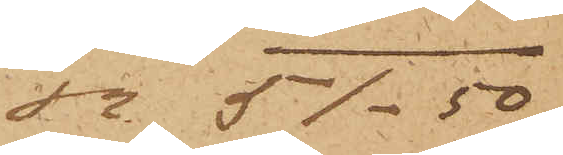Sa 51.50
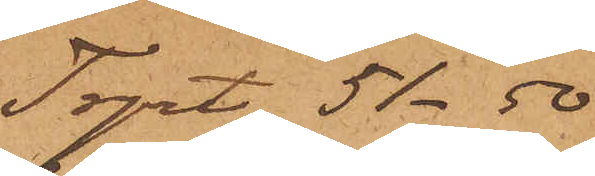Trpt 51.50
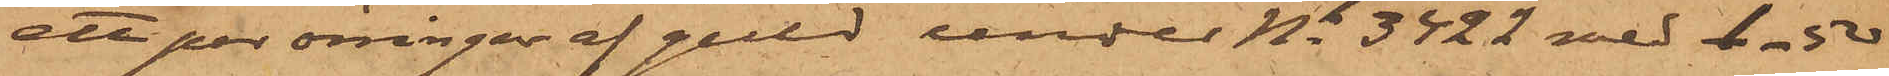ett par örringar af guld under No 3422 med 1.50
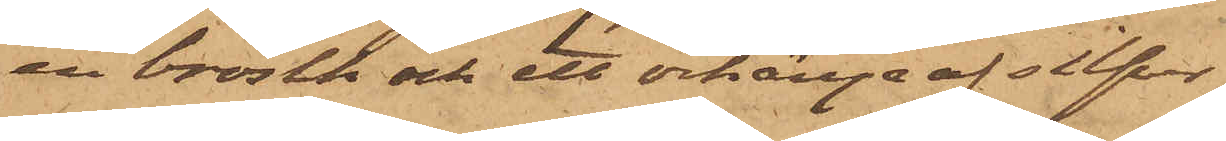en brosch och ett örhänge af silfver
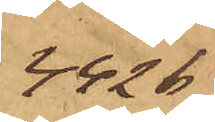4426
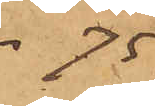- 75
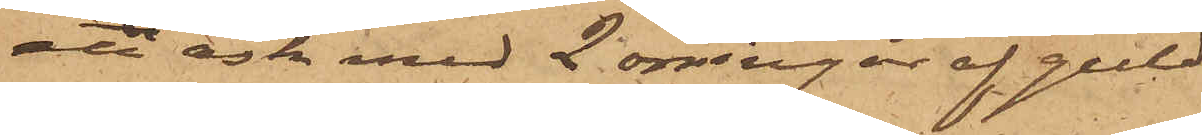en ask med 2 örringar af guld
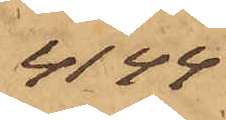4149
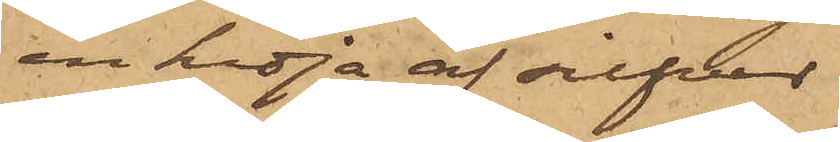en kedja af silfver
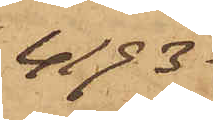4193
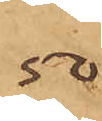50
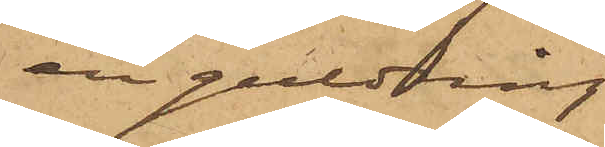en guldring
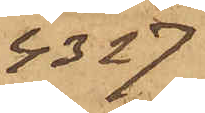4327
